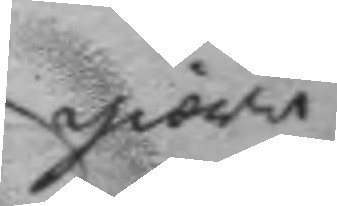giöra
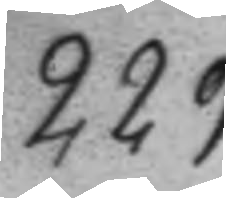229.
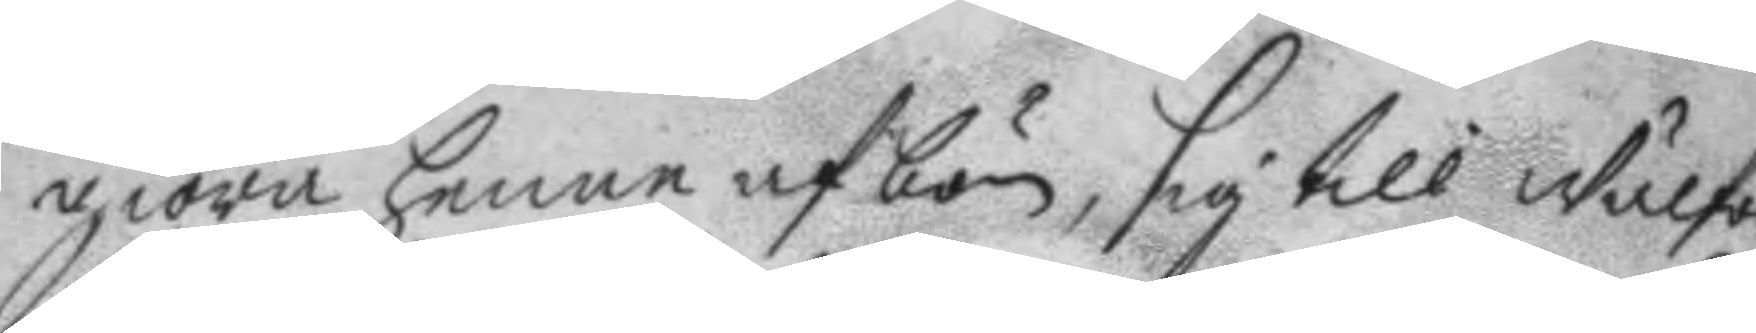giöra henne afbön, sig till Wälför¬
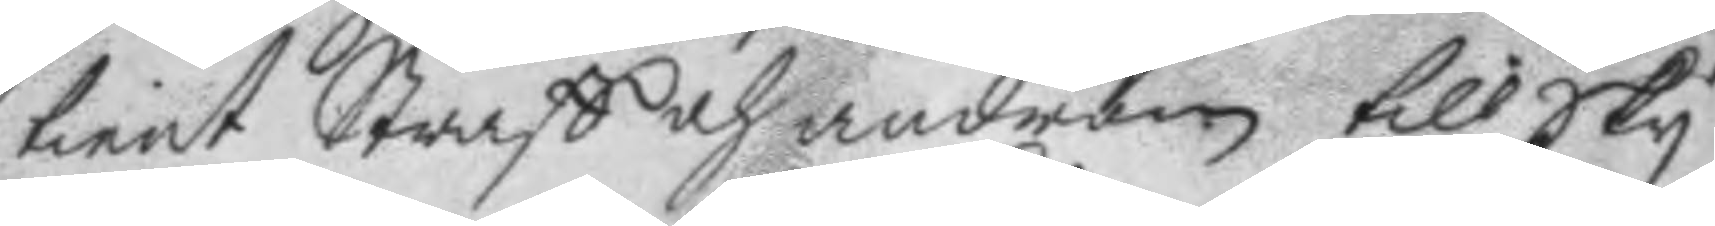tient Straff och androm till Sky
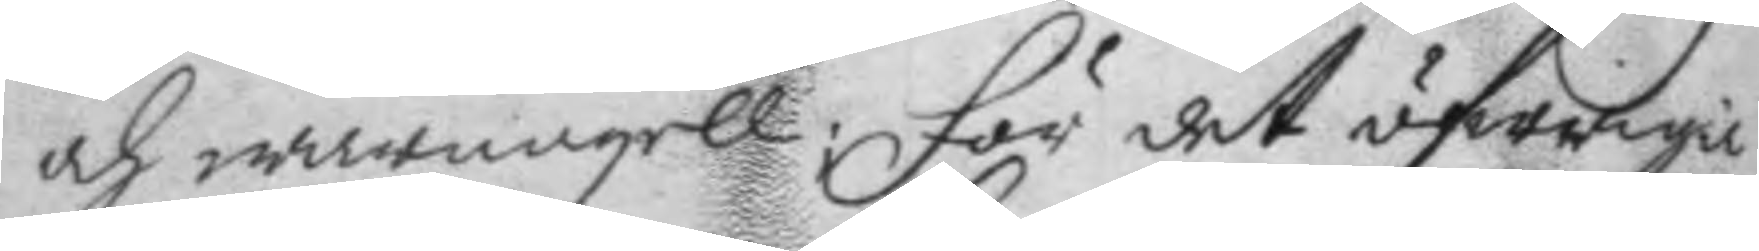och warnagell: För det öfwriga
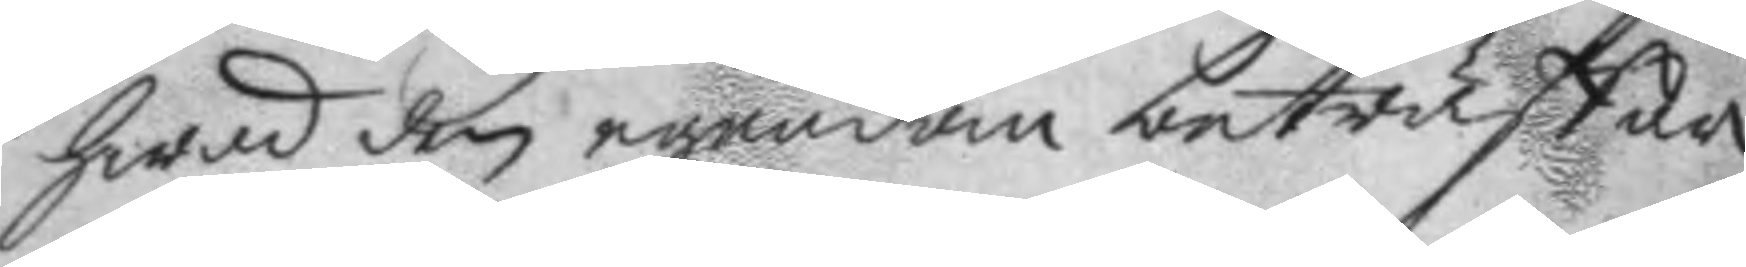hwad den egendom beträffar
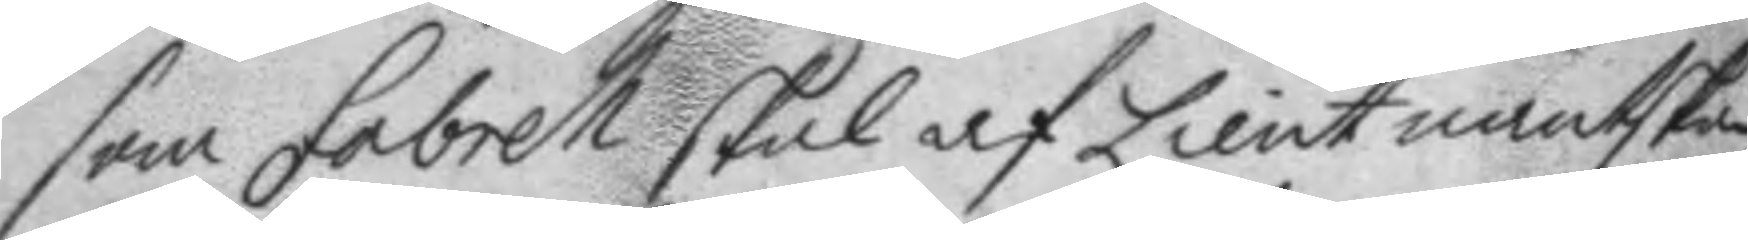som Fabrell skal af Lieutnantskan
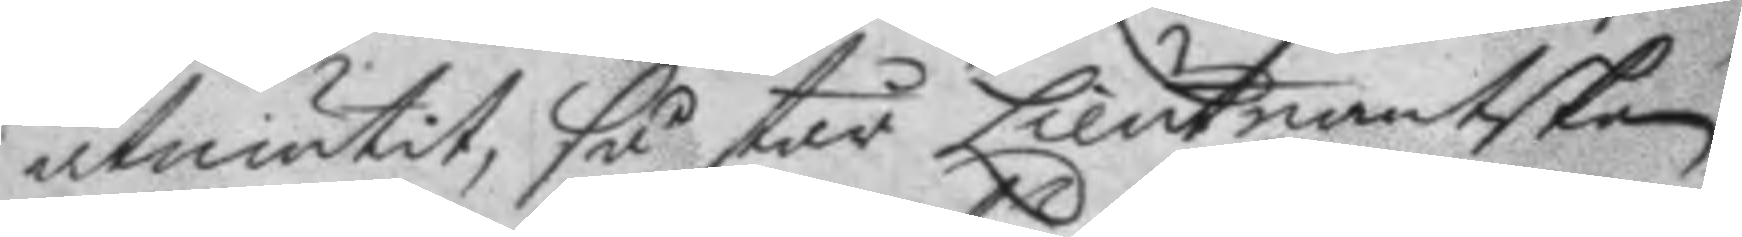åtniutit, så står Lieutnantskan
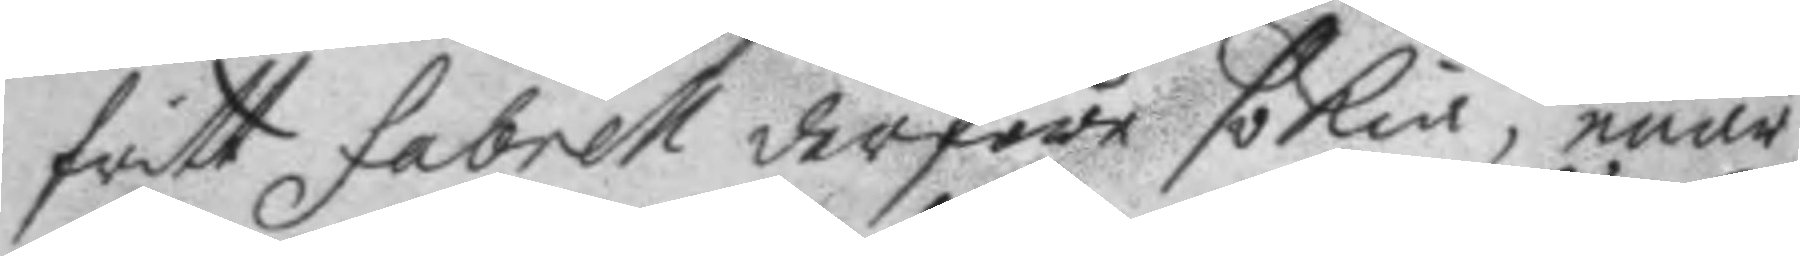fritt Fabrell derföre sökia, enär
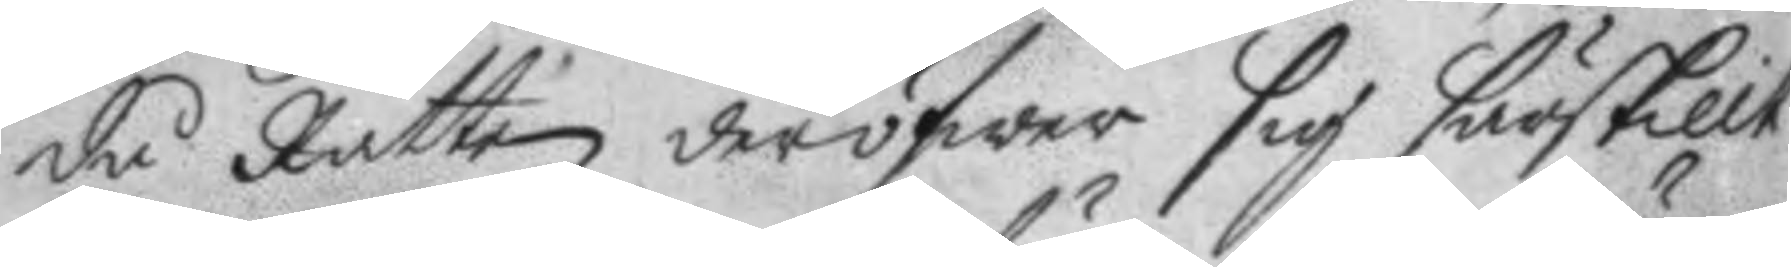då Rätten deröfwer sig särskillt
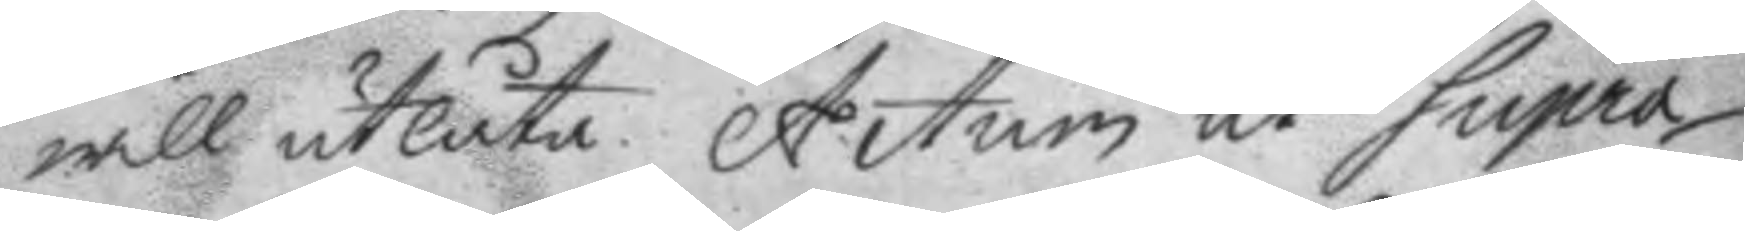will utlåta. Actum ut Supra.
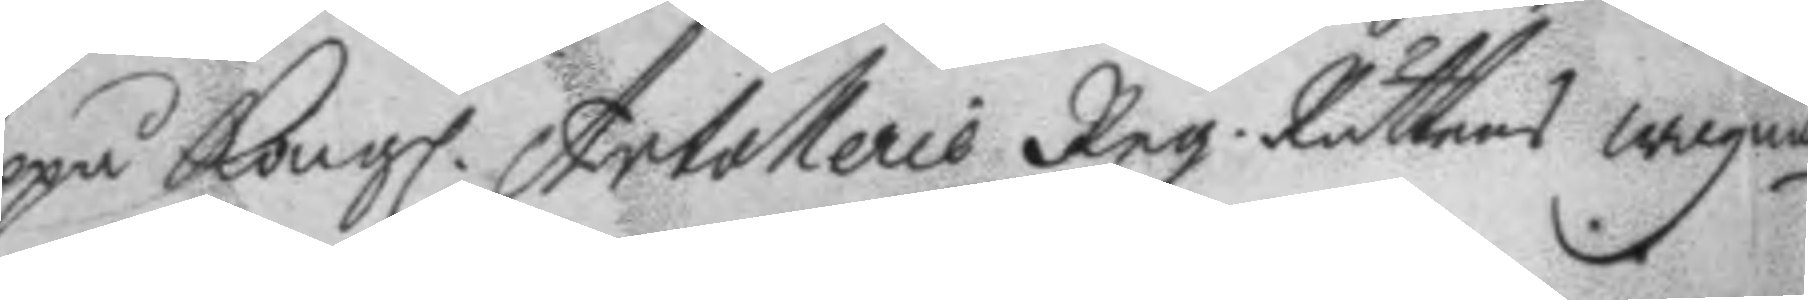Uppå Kongl. Artollerie Reg. Rättens wägnar
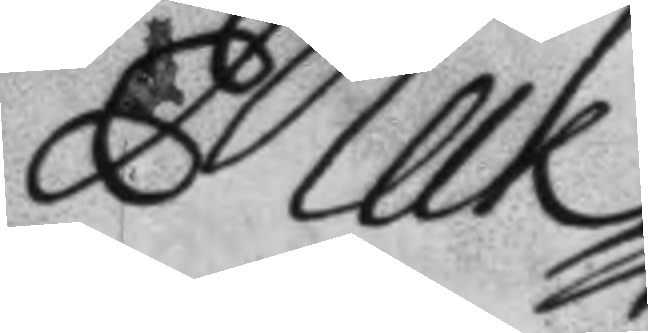Melk
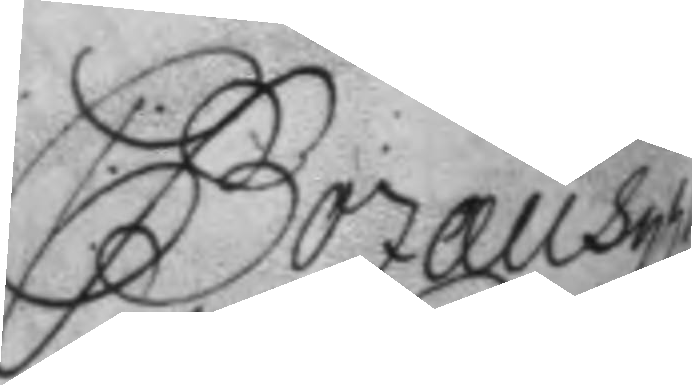C. Bozæus
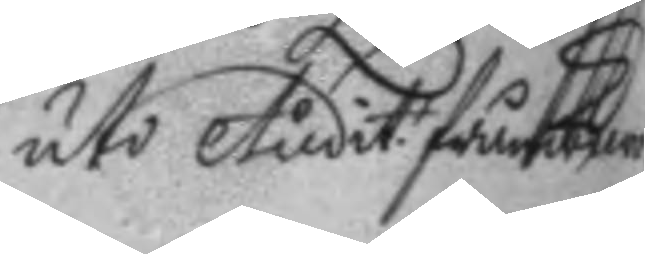uti Audit. frånwaro
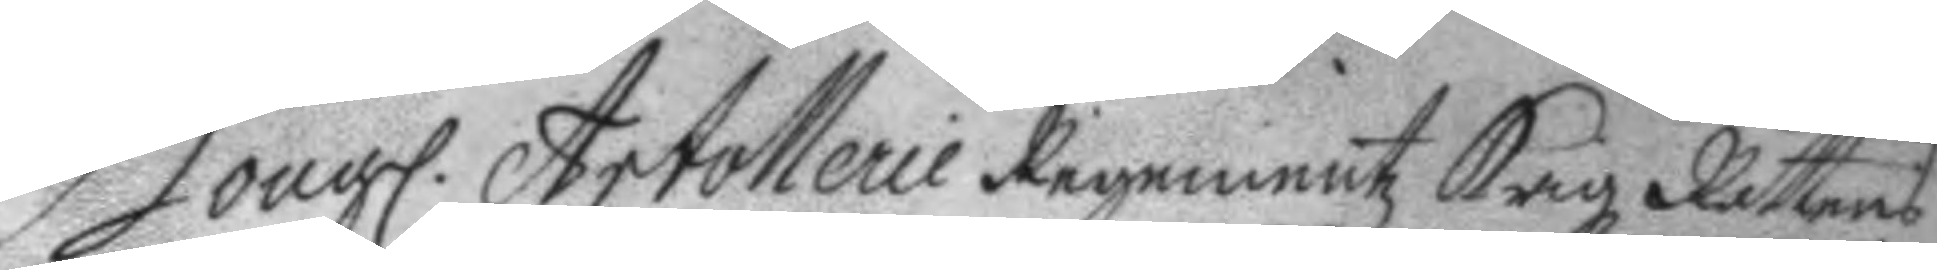Kongl. Artollerie Regementz Krigz Rättens
